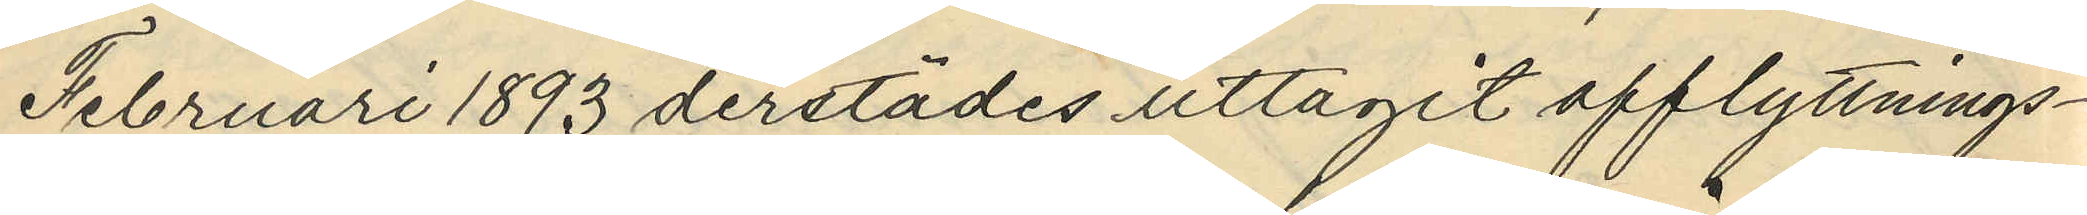Februari 1893 derstädes uttagit afflyttnings¬
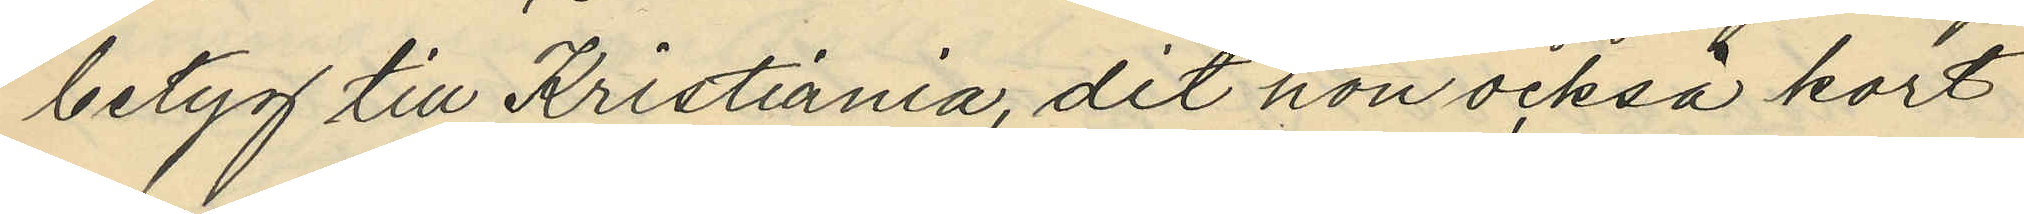betyg till Kristiania, dit hon ocksa kort
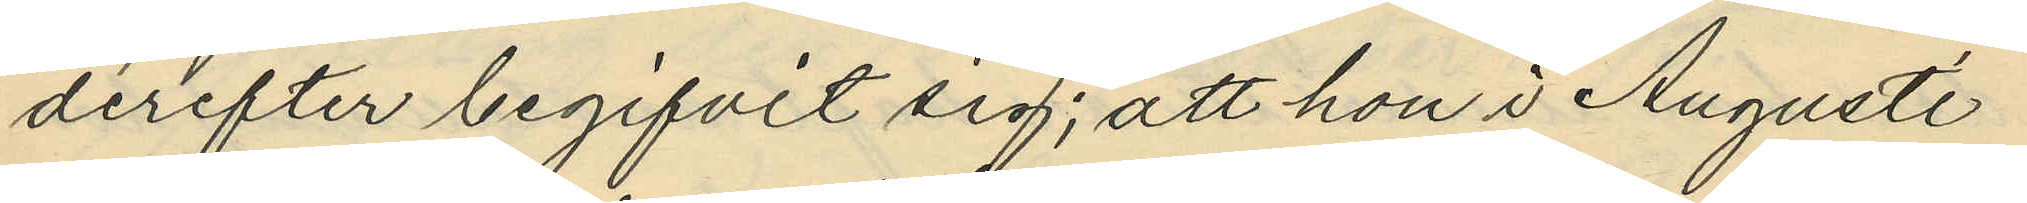derefter begifvit sig; att hon i Augusti
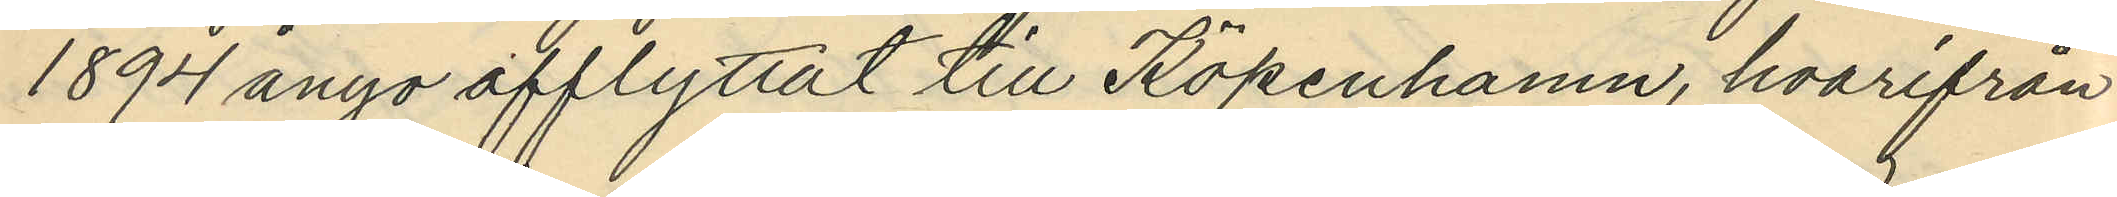1894 ånyo afflyttat till Köpenhamn, hvarifrån
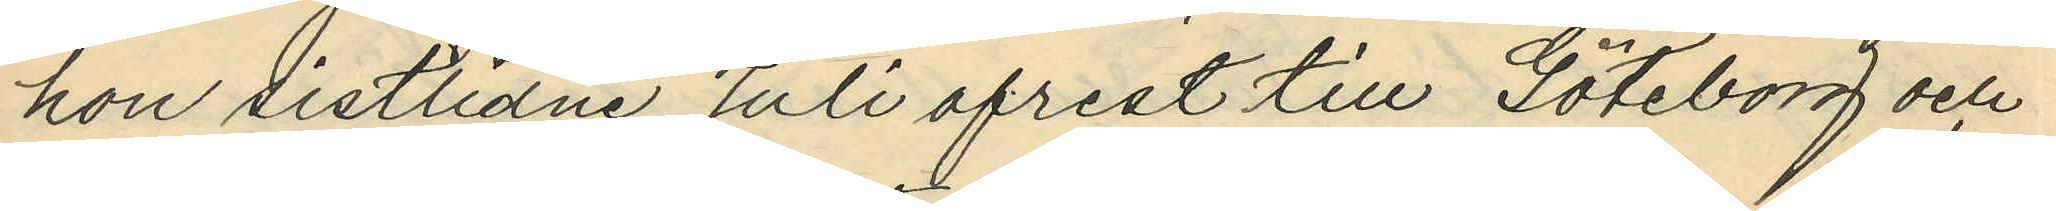hon sistlidne Juli afrest till Göteborg och
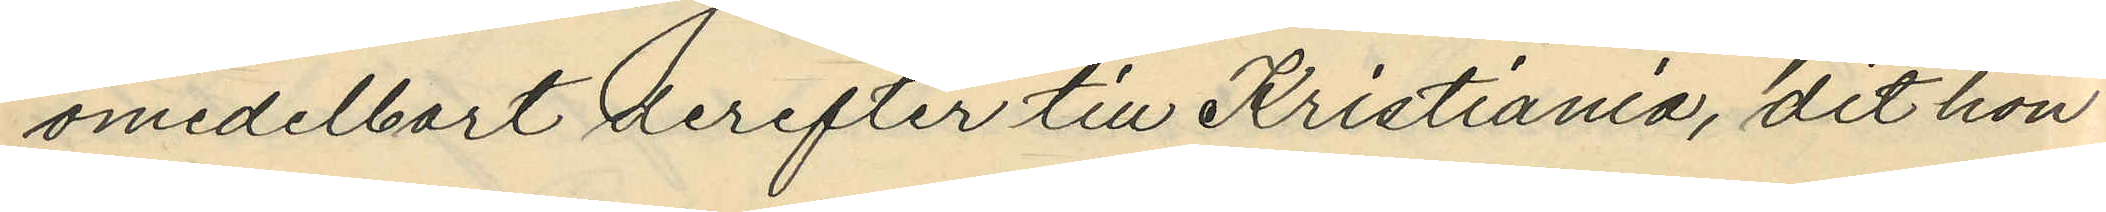omedelbart derefter till Kristiania, dit hon
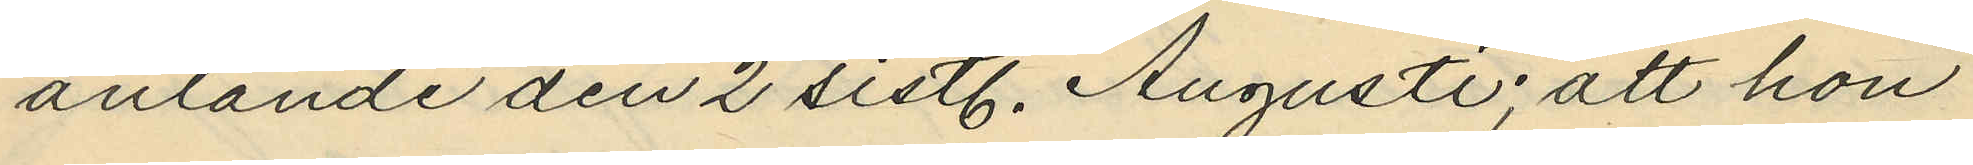anlände den 2 sistl. Augusti; att hon
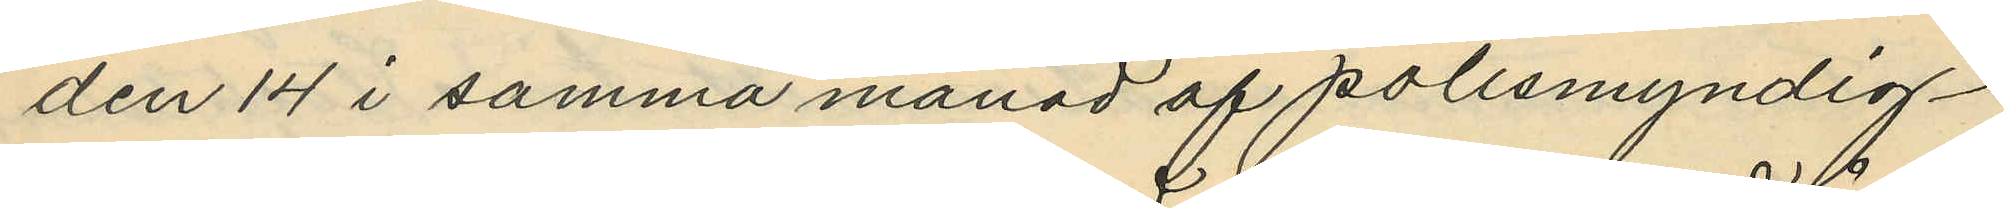den 14 i samma månad af polismyndig¬
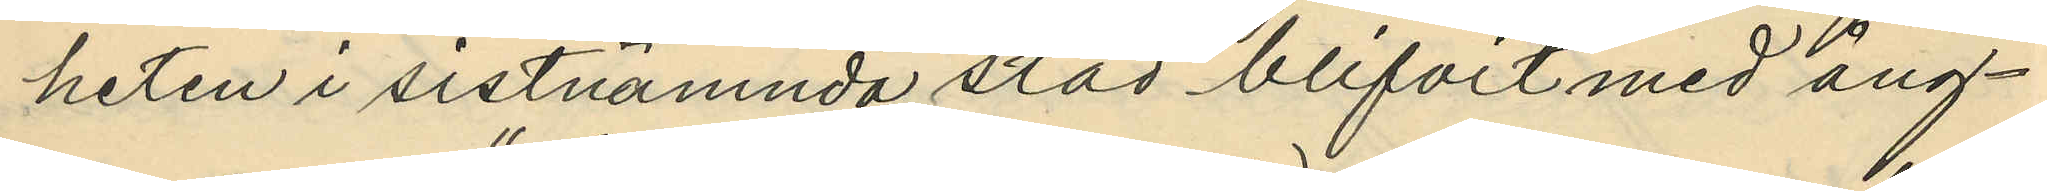heten i sistnämnda stad blifvit med ång¬
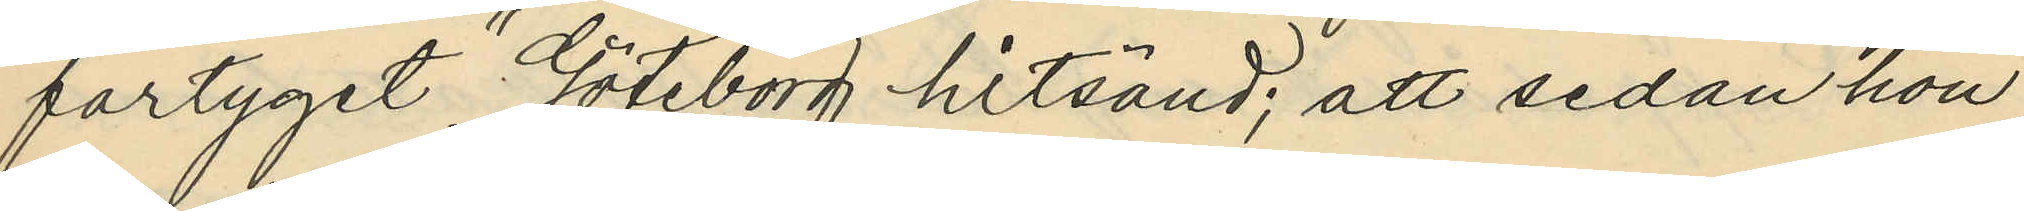fartyget Göteborg hitsänd; att sedan hon
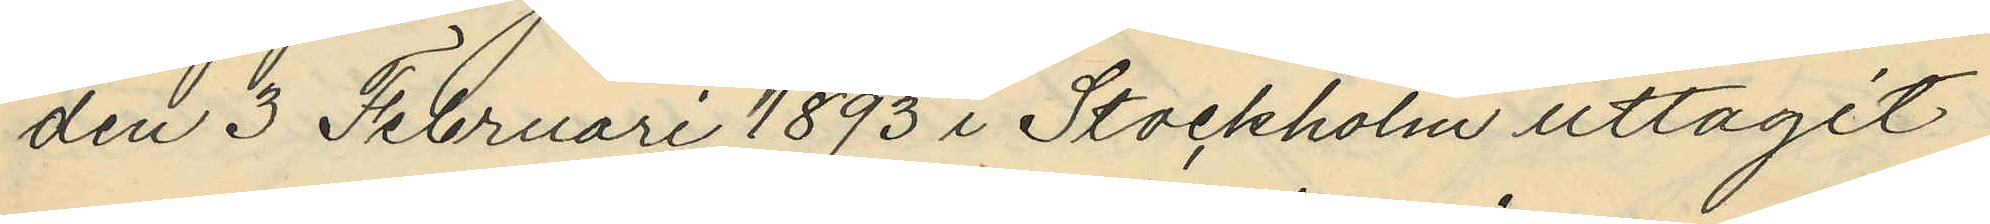den 3 Februari 1893 i Stockholm uttagit
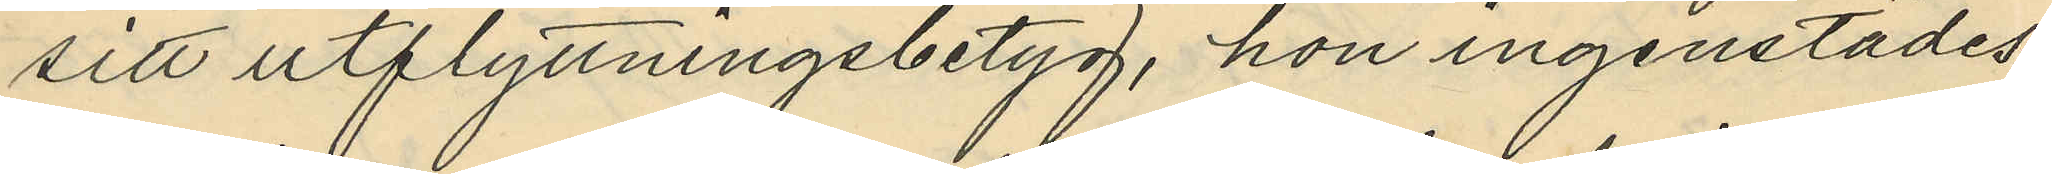sitt utflyttningsbetyg, hon ingenstädes
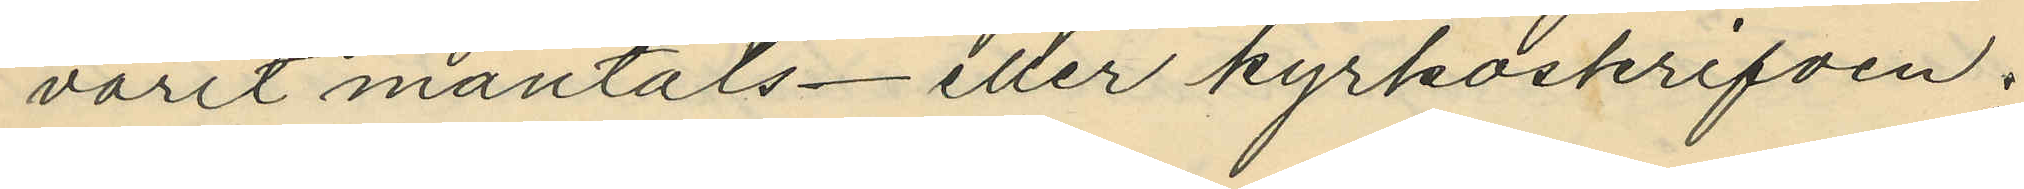varit mantals- eller kyrkoskrifven.
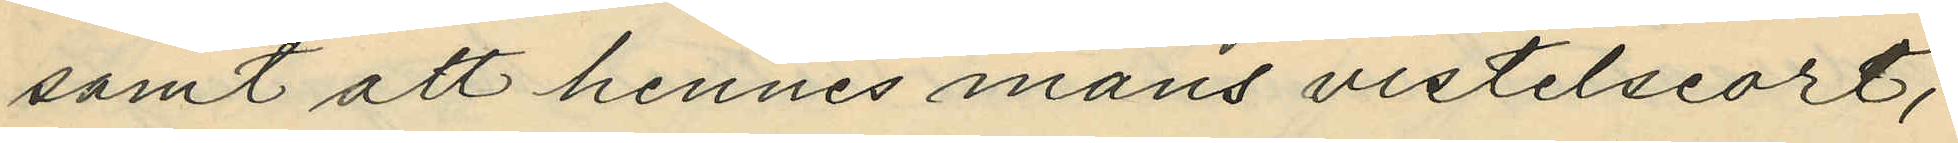samt att hennes mans vistelseort,
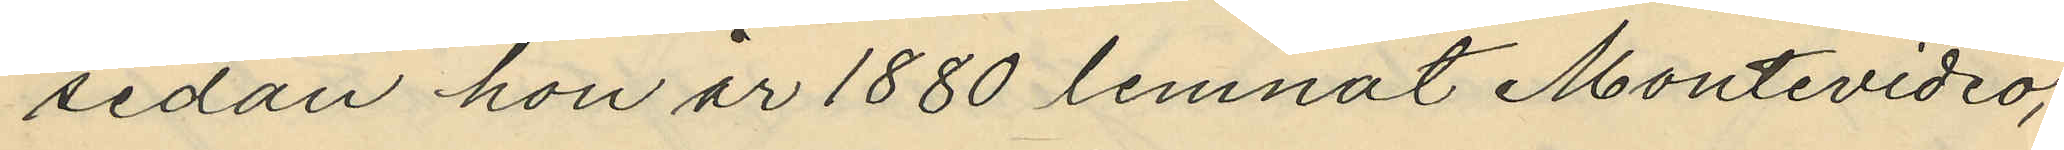sedan hon år 1880 lemnat Montevideo,
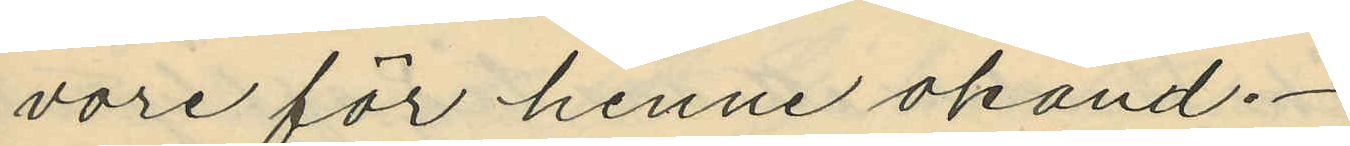vore för henne okänd.
